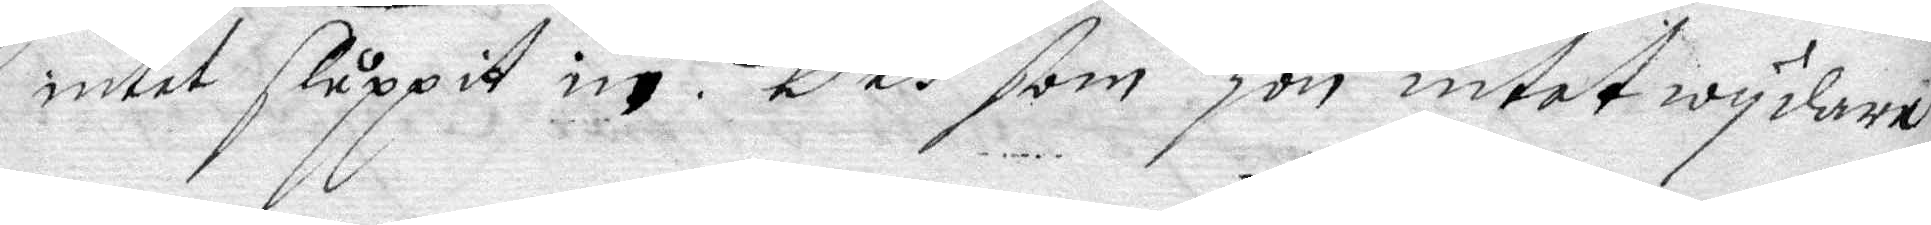intet sluppit in. Och som hon intet wydare
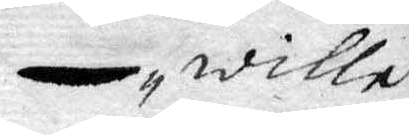wille
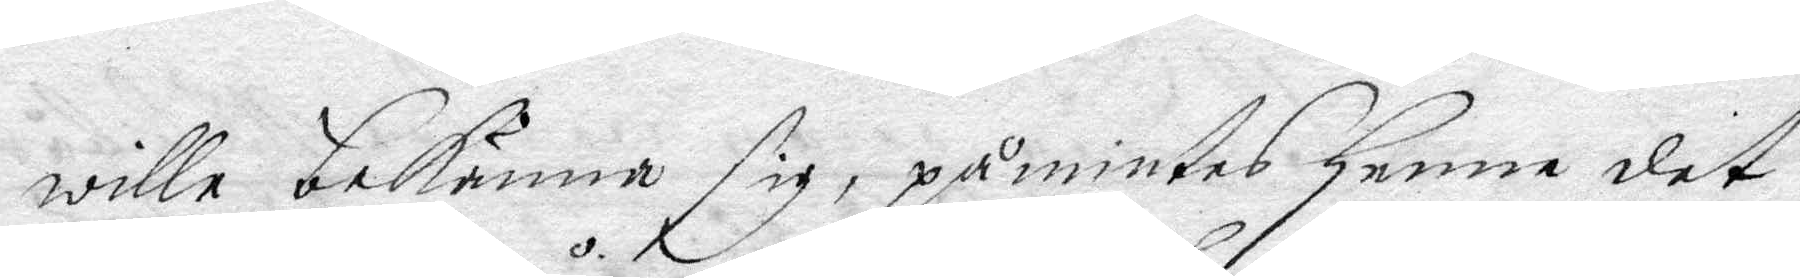wille bekänna sig, påmintes henne det
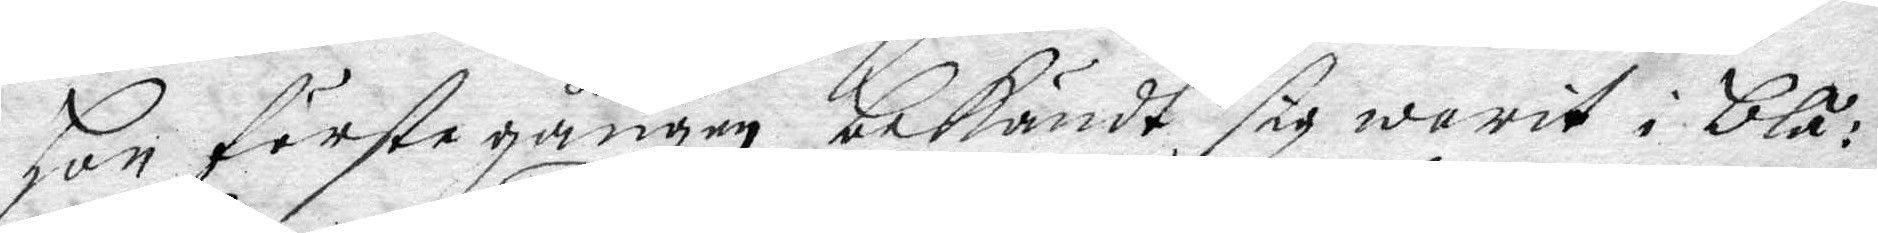Hon förste gången bekändt sig warit i blå¬
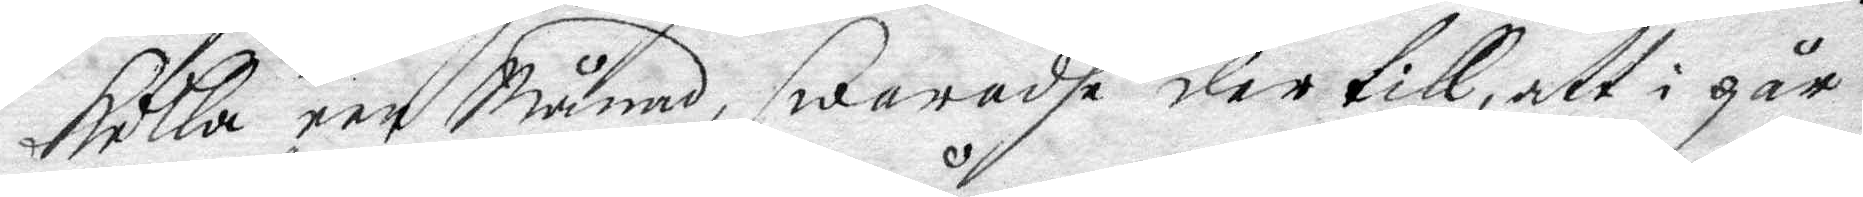kulla een Månad, swaradhe der till, att i går
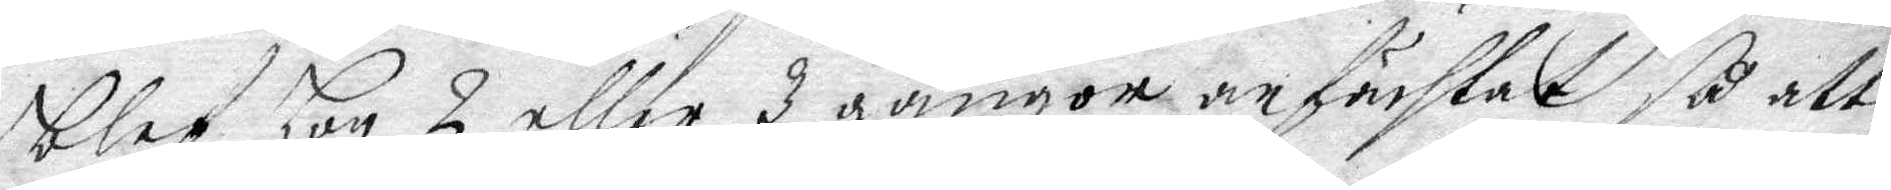blef Hon 2 eller 3 gånger anfächtat så att
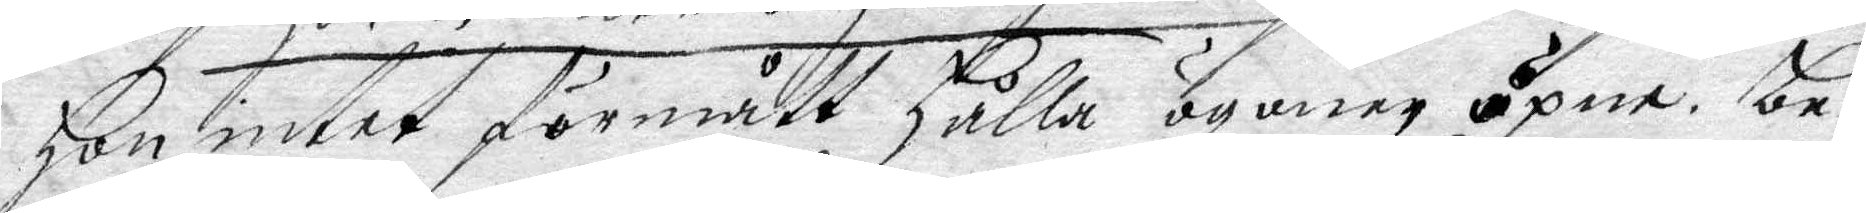Hon intet förmått Hålla ögonen öpne. be¬
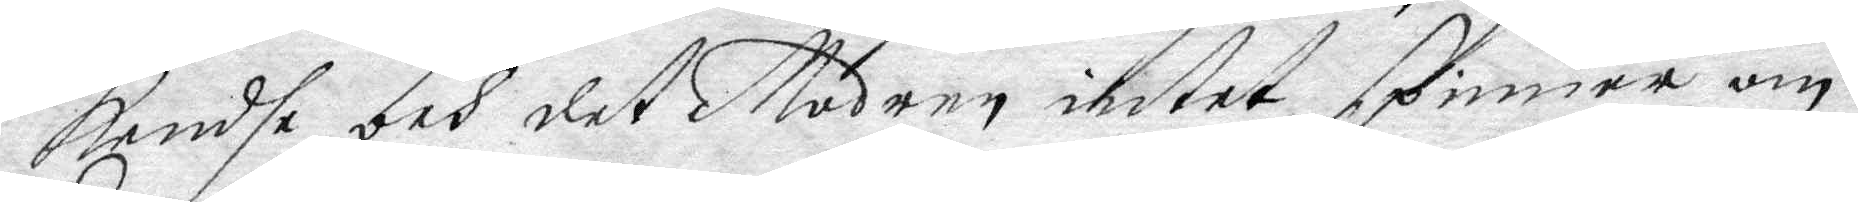kendhe och det Modren intet spinner om
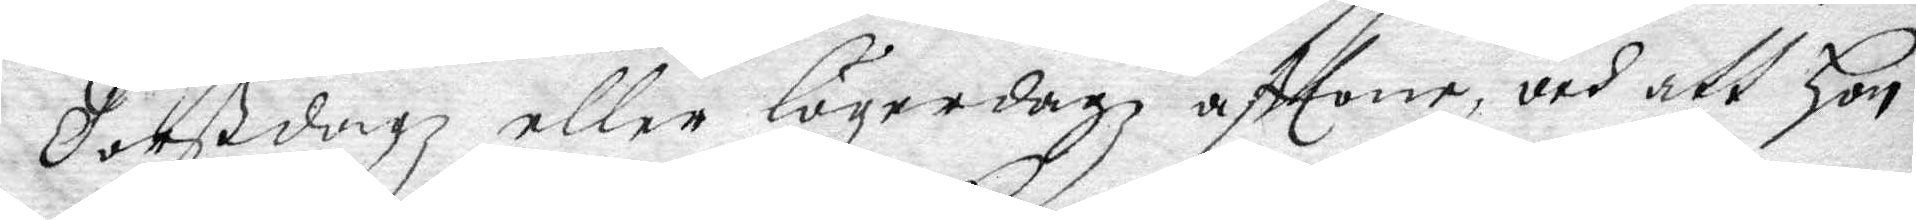Totßdagz eller lögerdagz afttone, och att Hon
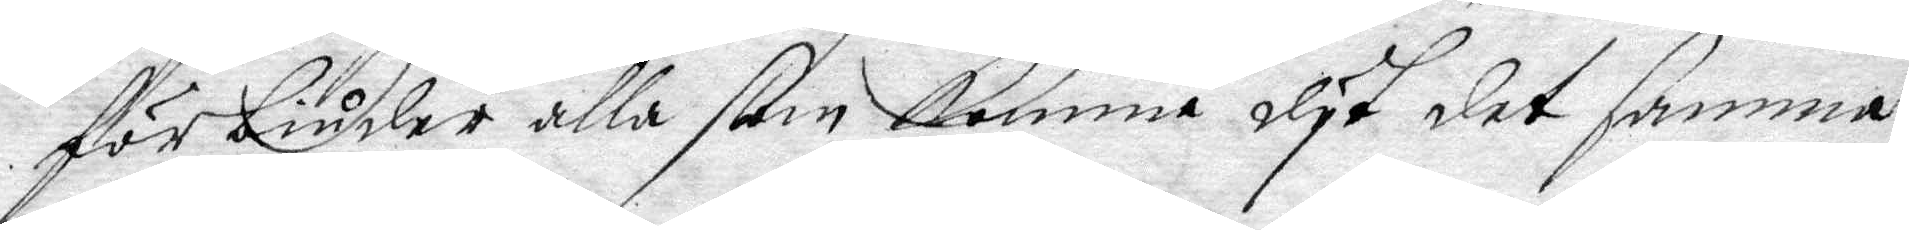förbiuder alla som komma dyt det samma
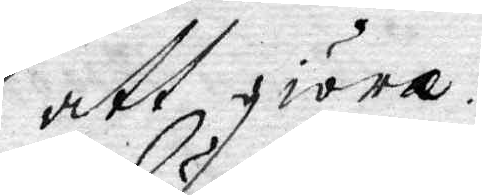att giöra.
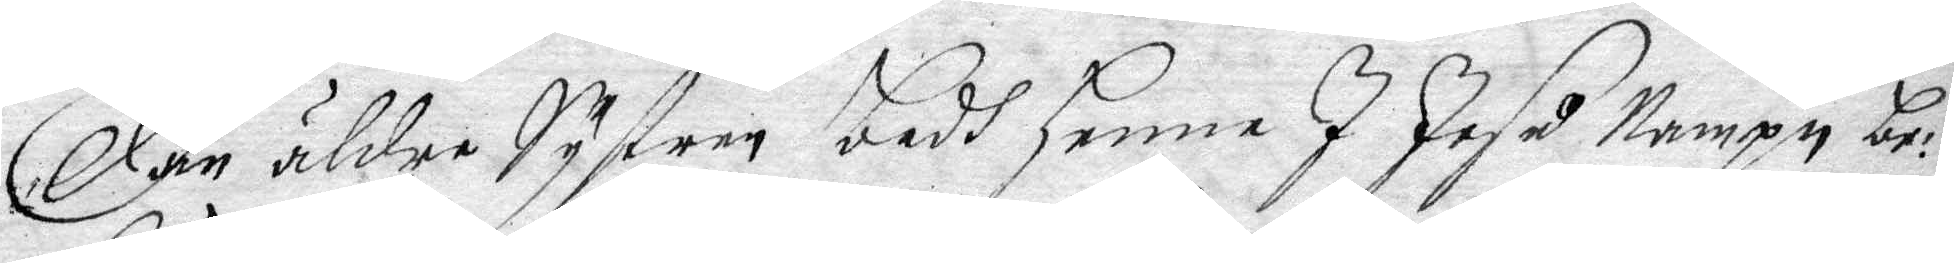Dän äldre Systren badh henne I Jesu Nampn be¬
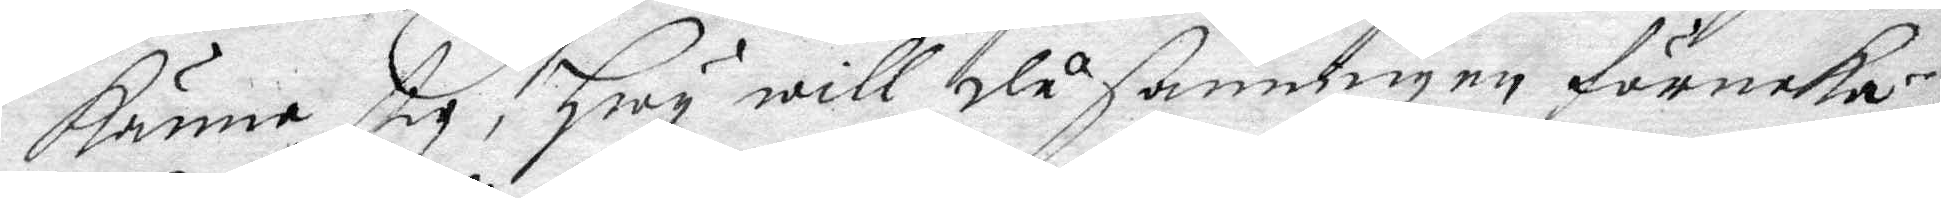känna sig, Hwy will då sanningen förneka,
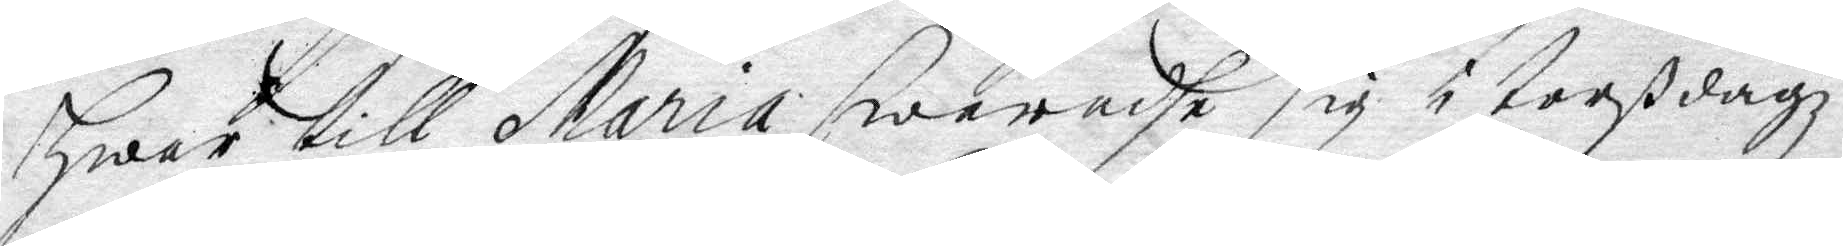Hwar till Maria swaradhe sig i torßdagz
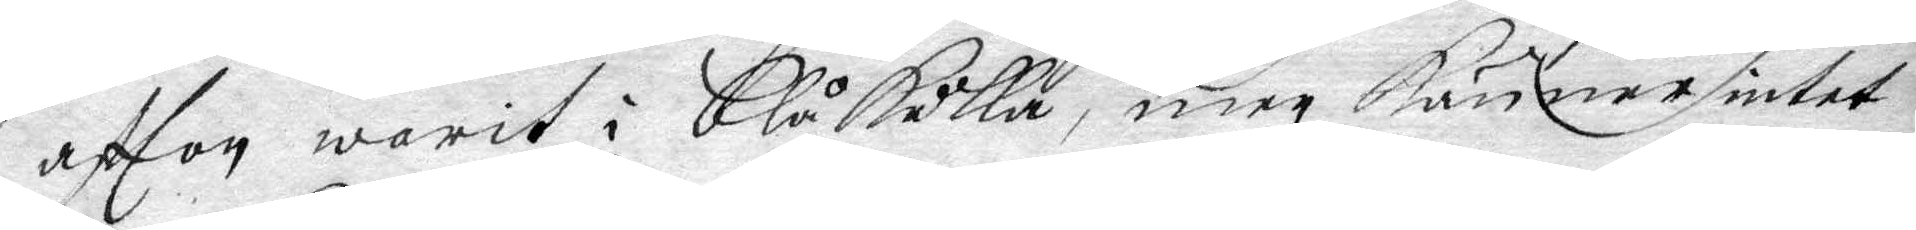aftton warit i Blåkulla, men känner intet
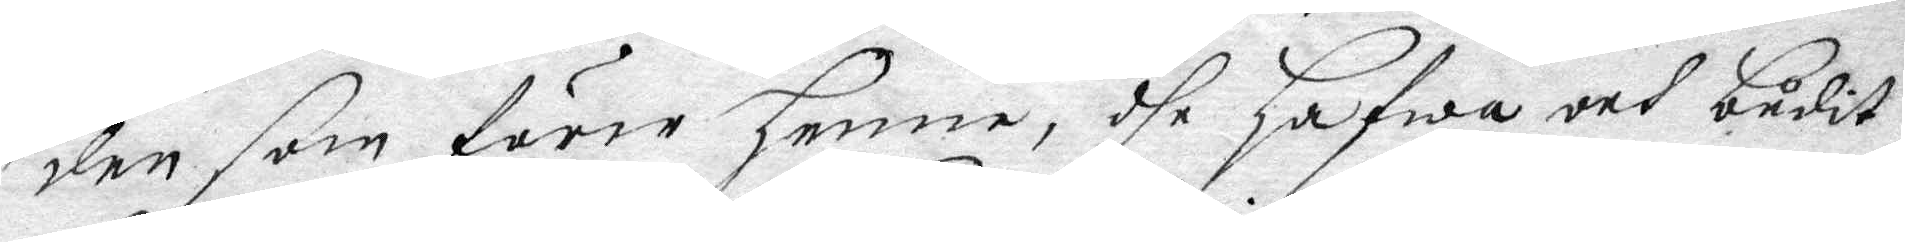den som förer henne, dhe hafwa och budit
